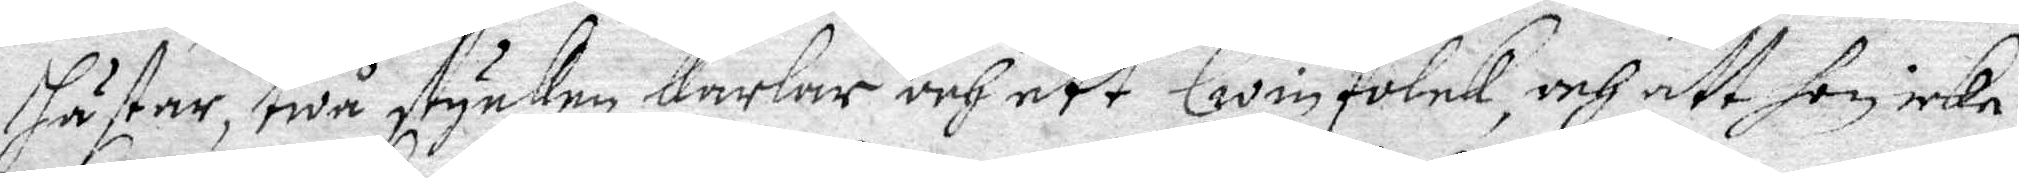hästar, twå stycken karlar och ett Qwin Folck, och att hon icke
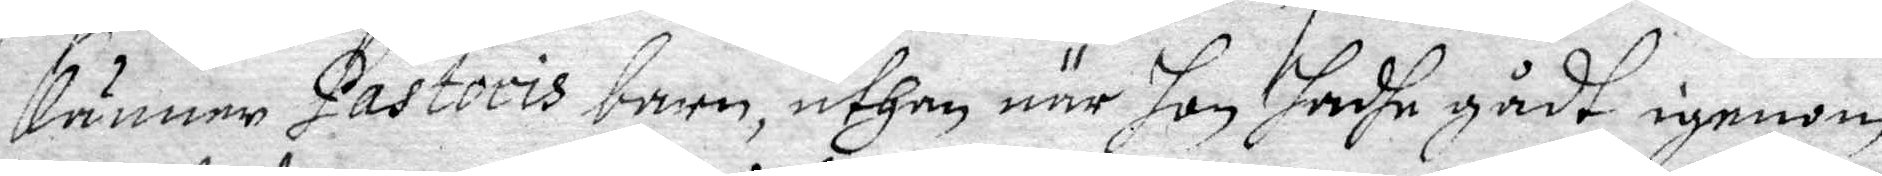känner Pastoris barn, uthan när hon hadhe gådt igenom
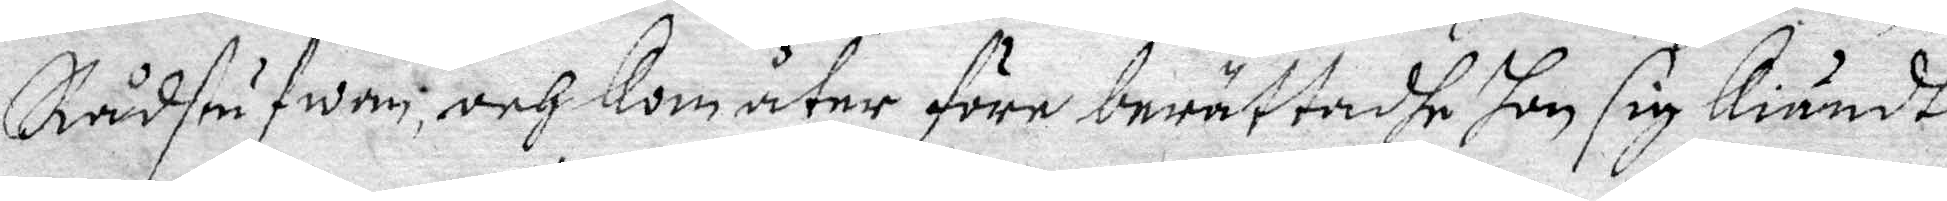Rådstufwan, och kom åter före berättadhe hon sig Kiändt
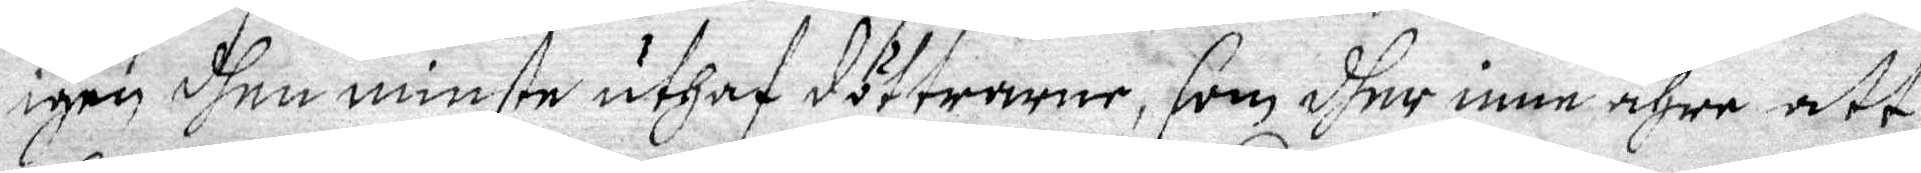igen dhen minste uthaf döttrarne, som dher inne ähre att 
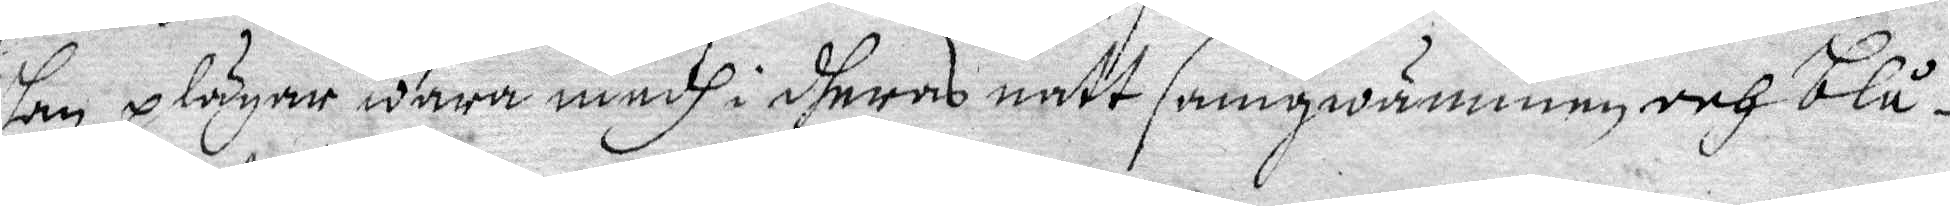hon plägar wara medh i dheras natt samqwämmen och blå¬
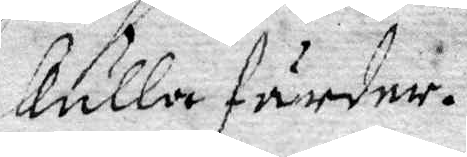kulla färder.
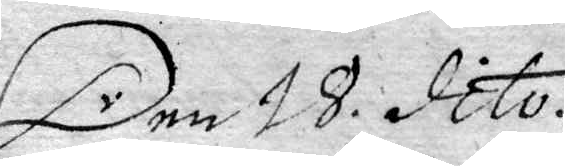Den 18. dito.
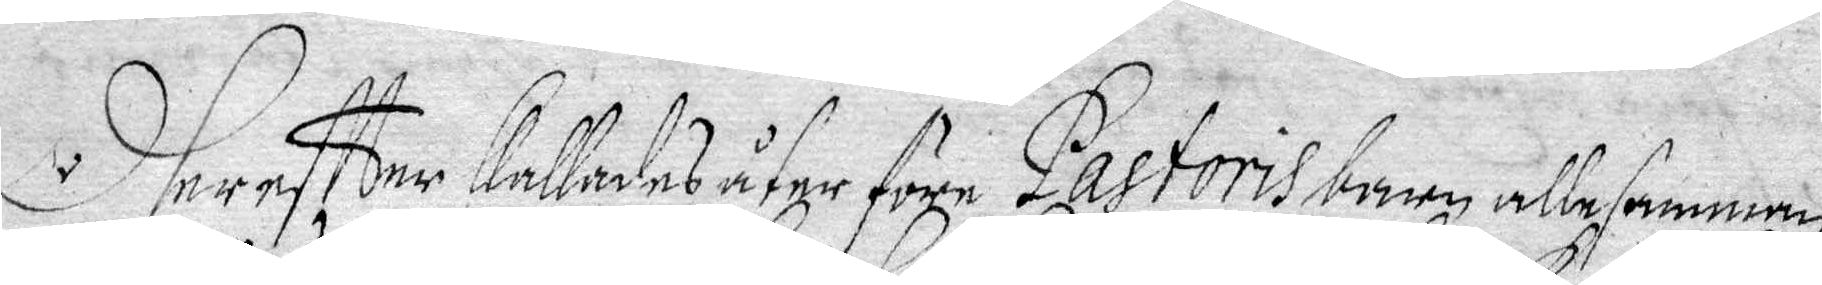Dhereftter kallades åter före Pastoris barn allesamman
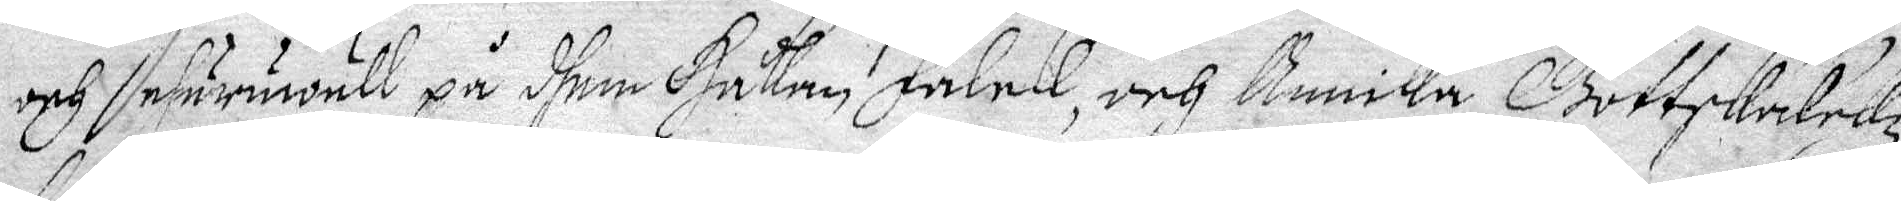och ehuruwäll på dhem Håkan,Falck, och Annika Gottskalckz
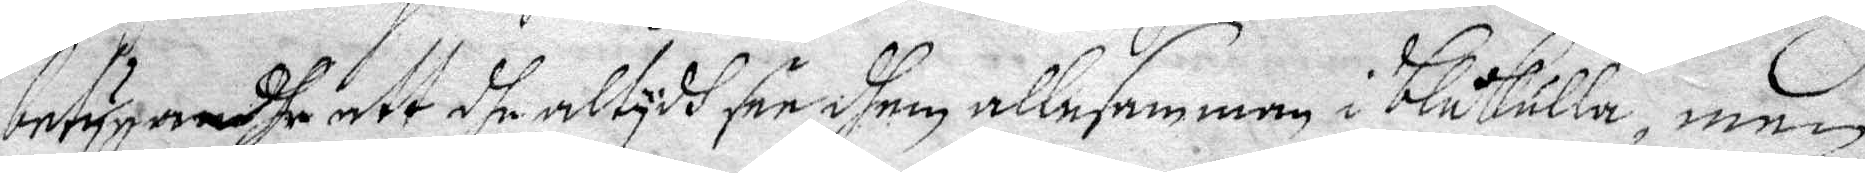betygandhe att dhe altydh see dhem allesamman i blåkulla, men
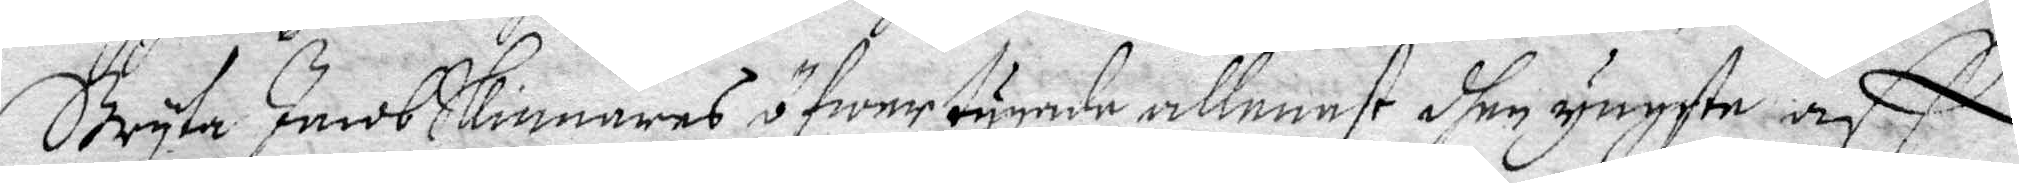Bryta Jacob Skinnares öfwerstygde allenast dhen yngste, aff
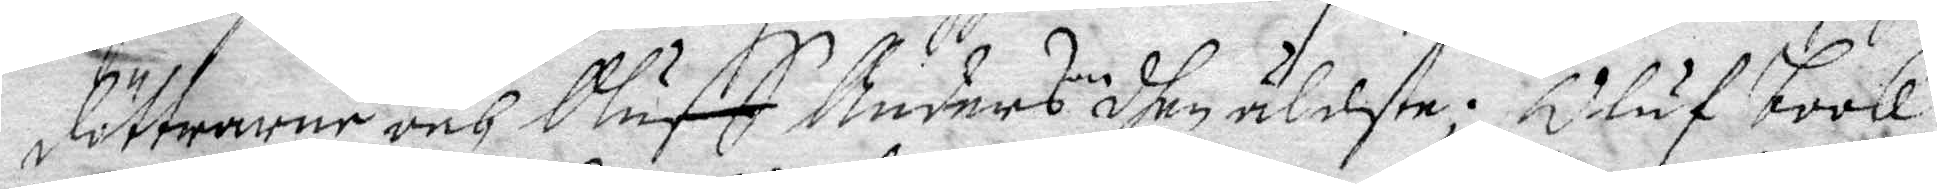döttrarne och Oluff Anderson dhen äldste; Oluf book
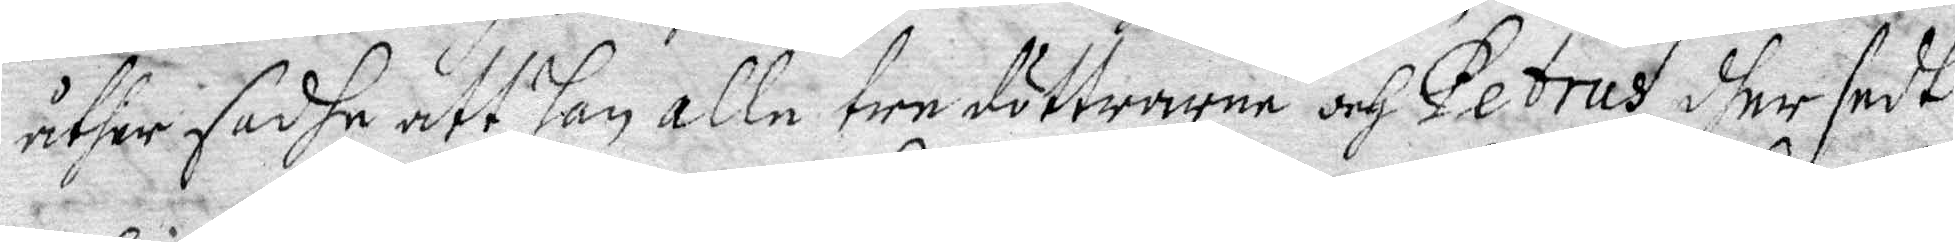åther sadhe att han alle tre döttrarne och Petrus dher sedt
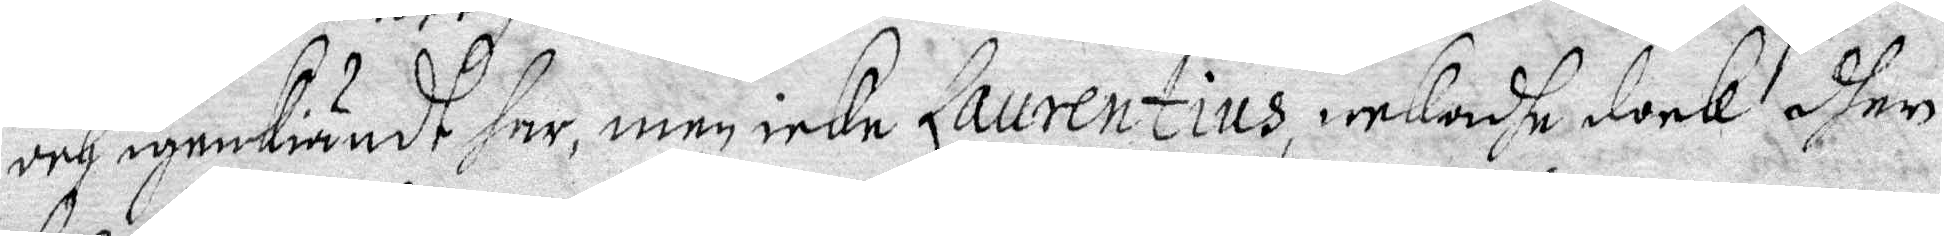och igenkiändt har, men icke Laurentius, nekadhe dock dher
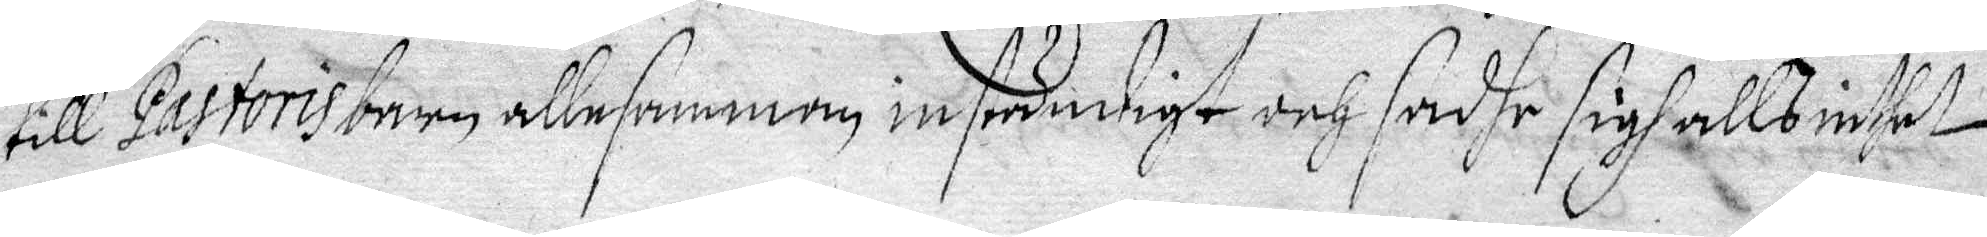till Pastoris barn allesamman inständigt och sadhe sigh alls intet 
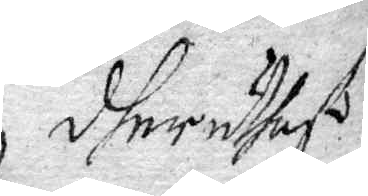dher uthaf
